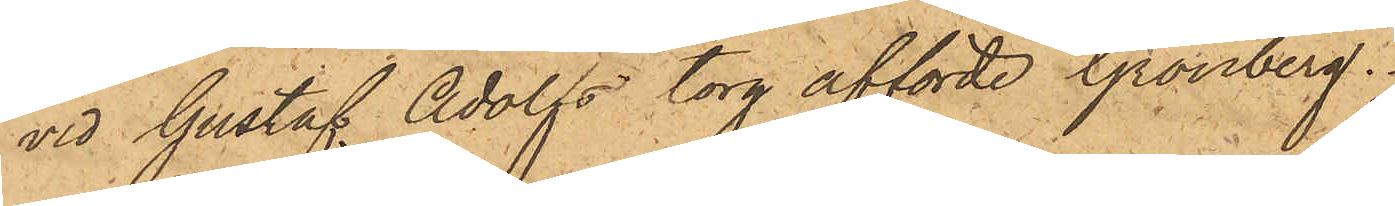vid Gustaf Adolfs torg afförde Grönberg.
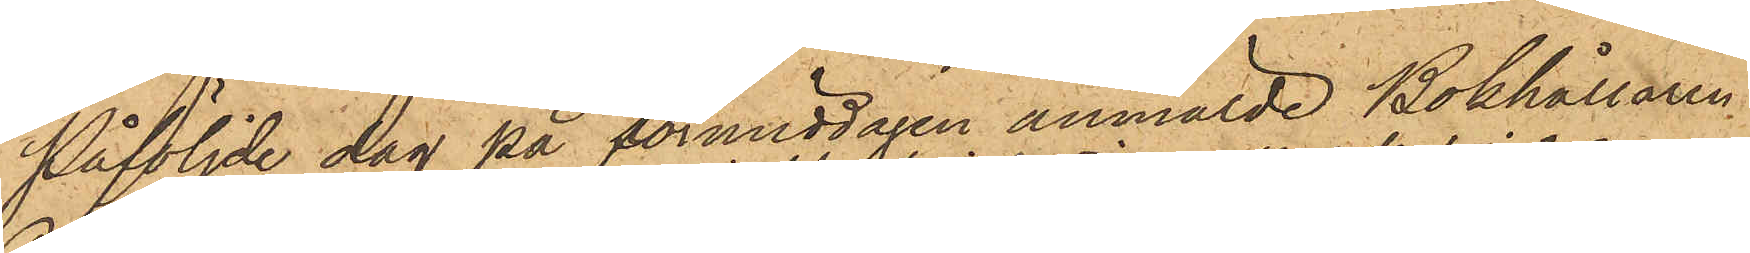Påföljde dag på förmiddagen anmälde Bokhållaren
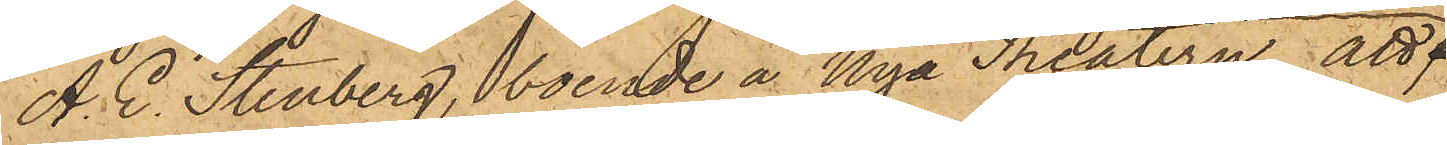A. E. Stenberg, boende å Nya Theatern, att
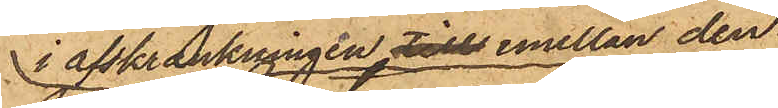i afskrankningen tills emellan den
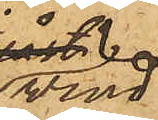vind
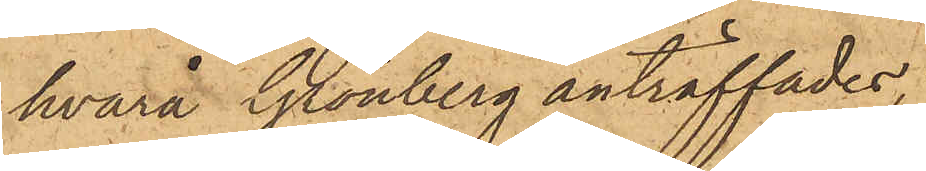hvarå Grönberg anträffades,
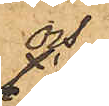och
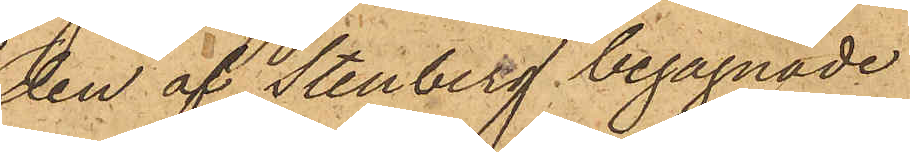den af Stenberg begagnade
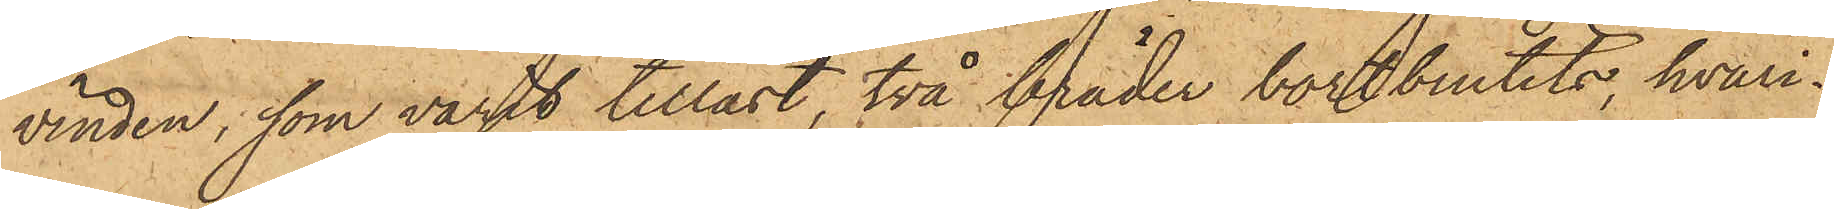vinden, som varit tillåst, två bräder bortbrutits, hvari¬
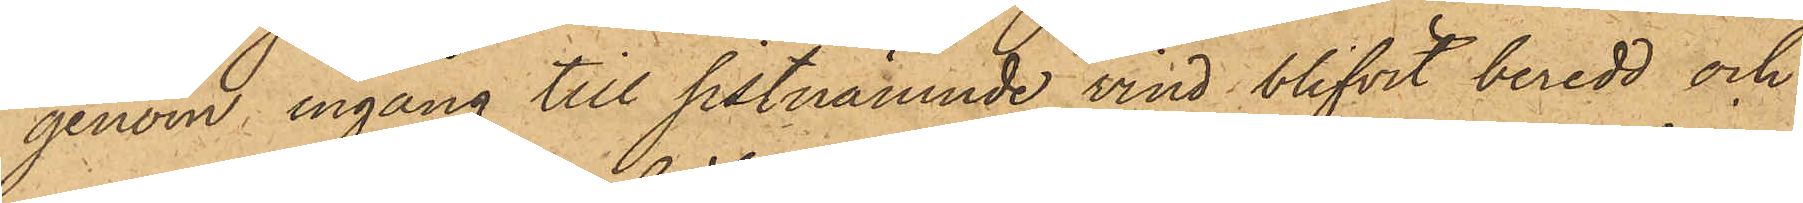genom ingång till sistnämnde vind blifvit beredd och
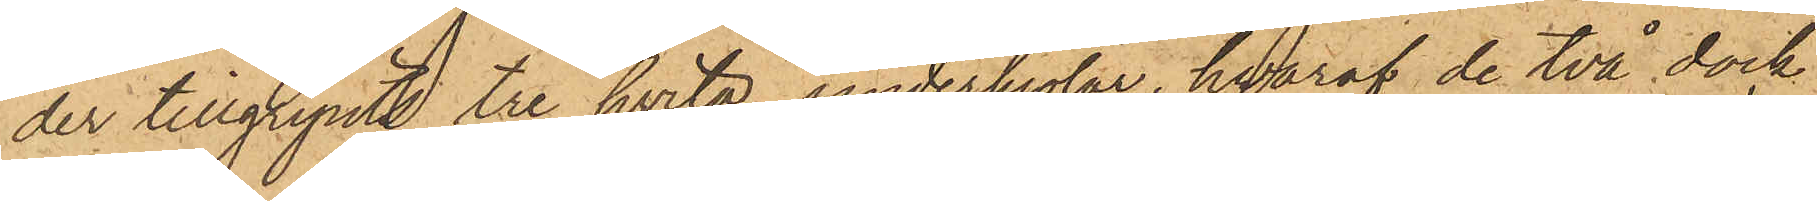der tillgripits tre hvita underkjolar, hvaraf de två dock
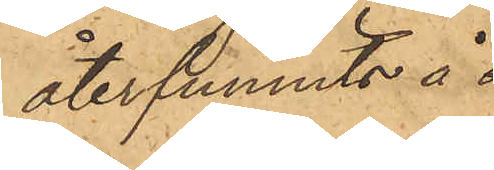återfunnits i
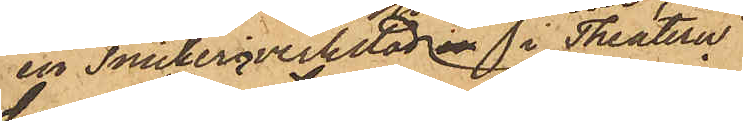en Snickeriverkstad i Theatern,
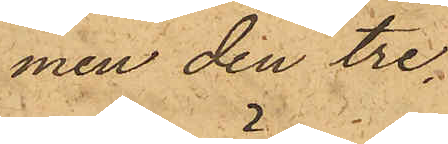men den tre¬
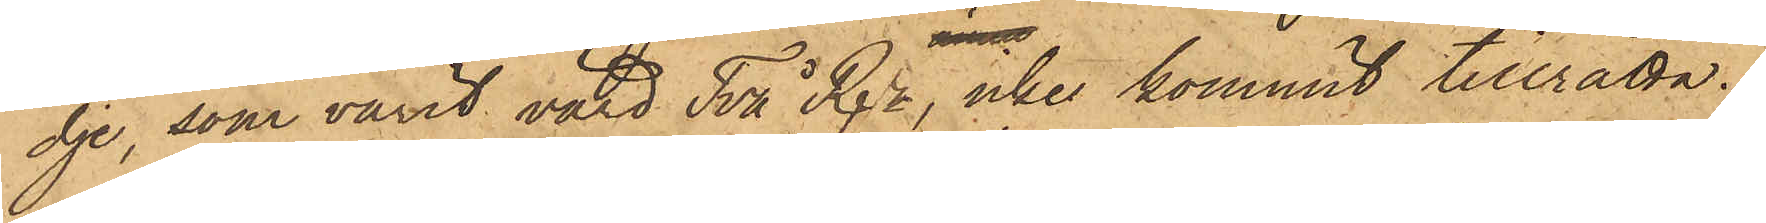dje, som varit värd Två Rdr, icke kommit tillrätta.
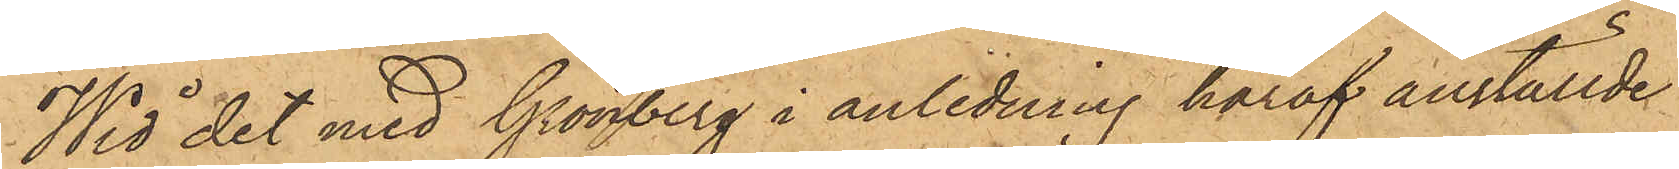Wid det med Grönberg i anledning häraf anställde
